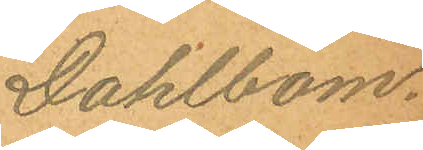Dahlbom.
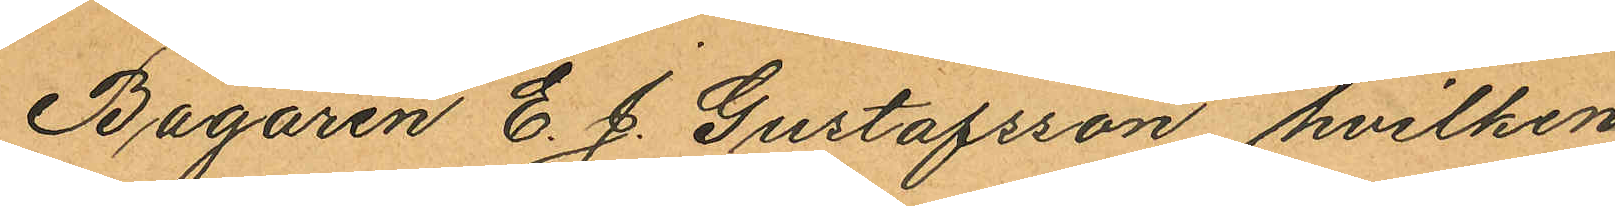Bagaren E. J. Gustafsson hvilken
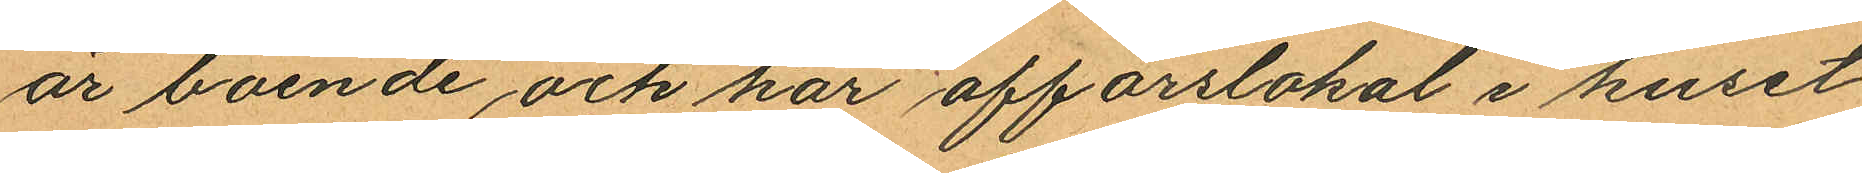är boende och har affärslokal i huset
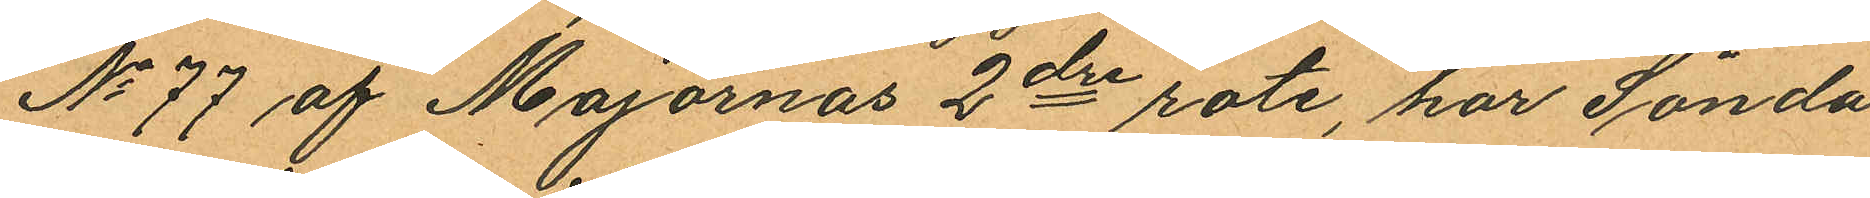No 77 af Majornas 2dre rote, har Sönda¬
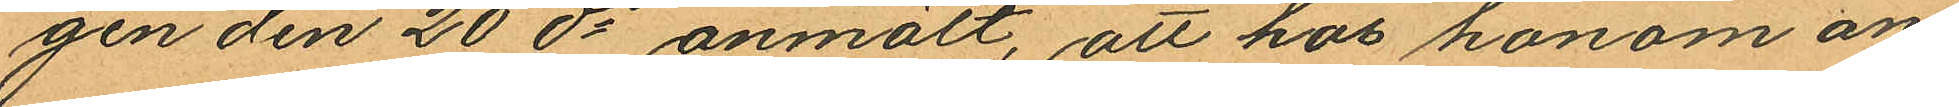gen den 20 ds anmält, att hos honom an
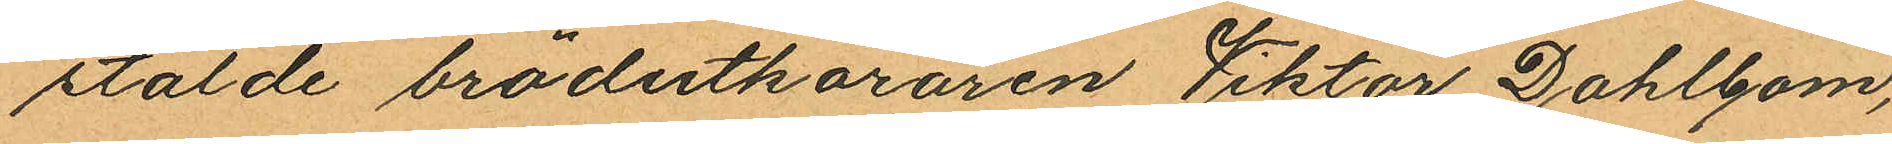stälde brödutköraren Viktor Dahlbom,
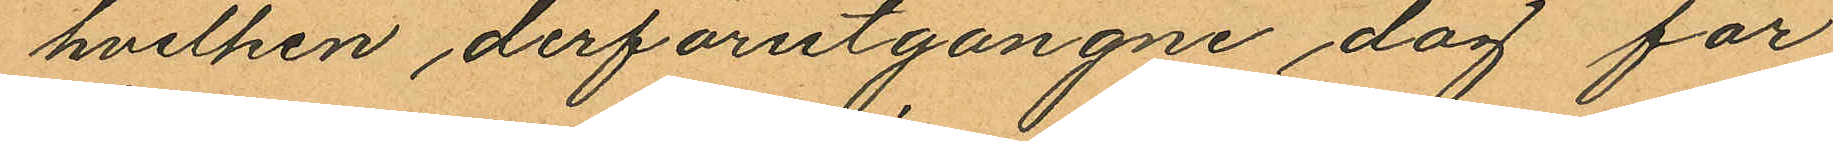hvilken derförutgångne dag för
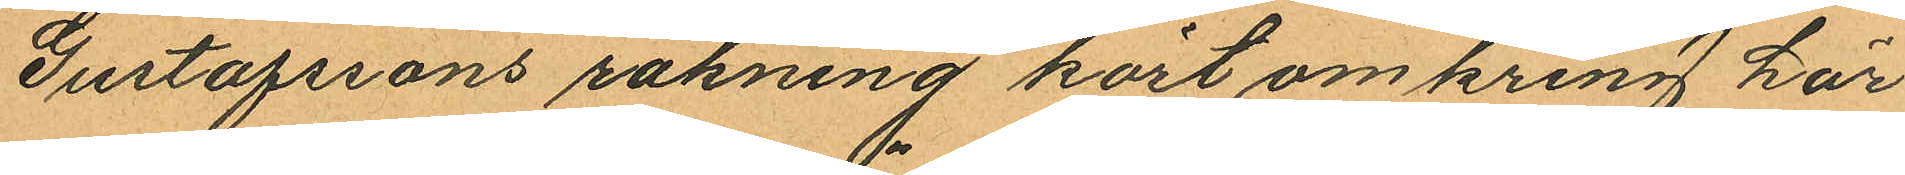Gustafssons räkning kört omkring här
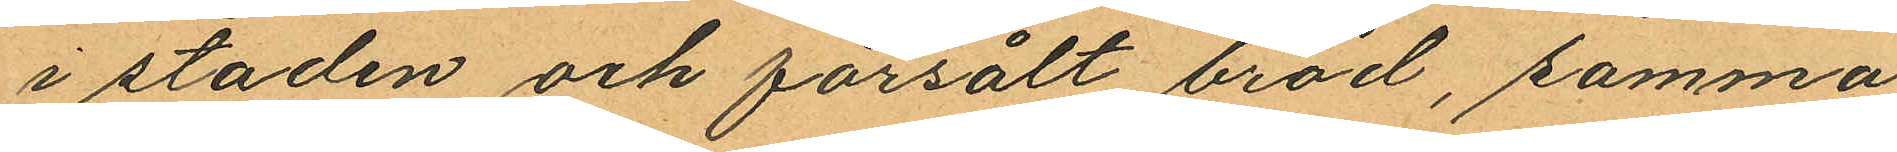i staden och försålt bröd, samma
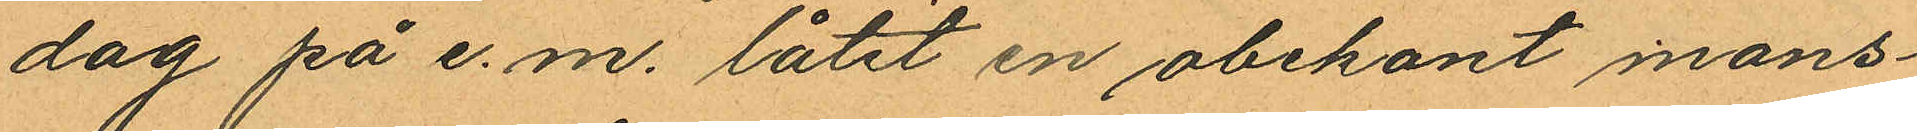dag på e. m. låtit en obekant mans¬
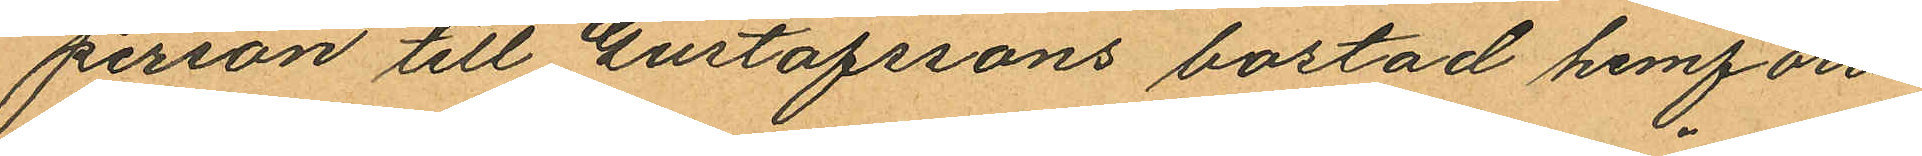person till Gustafssons bostad hemföra
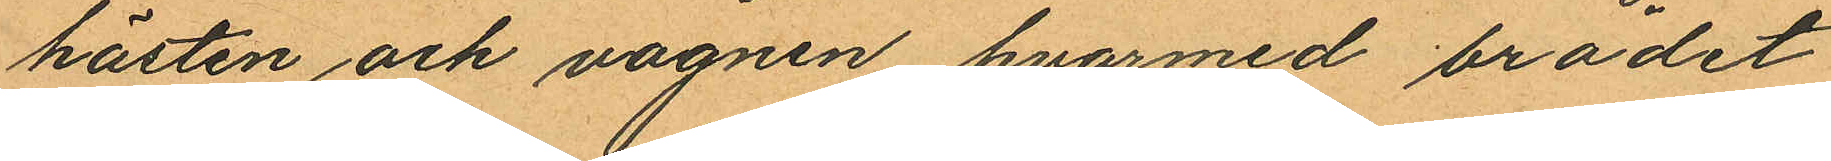hästen och vagnen hvarmed brödet
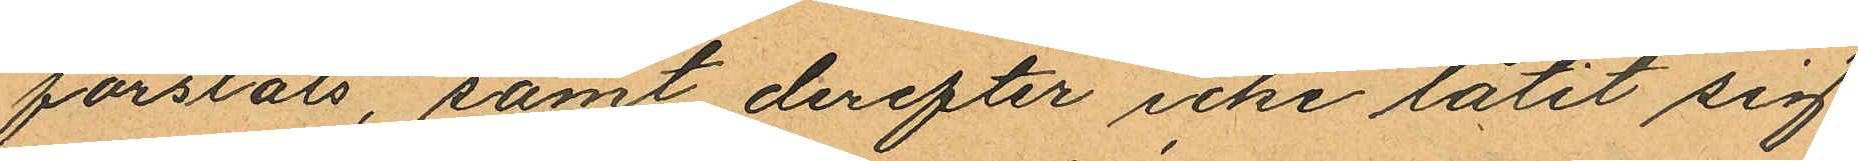forslats, samt derefter icke låtit sig
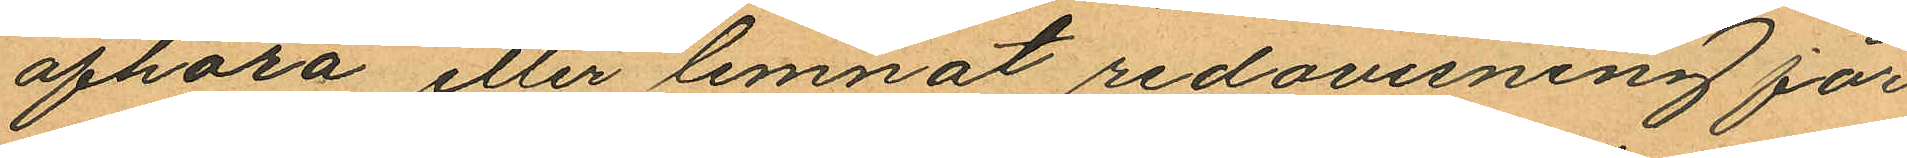afhöra eller lemnat redovisning för
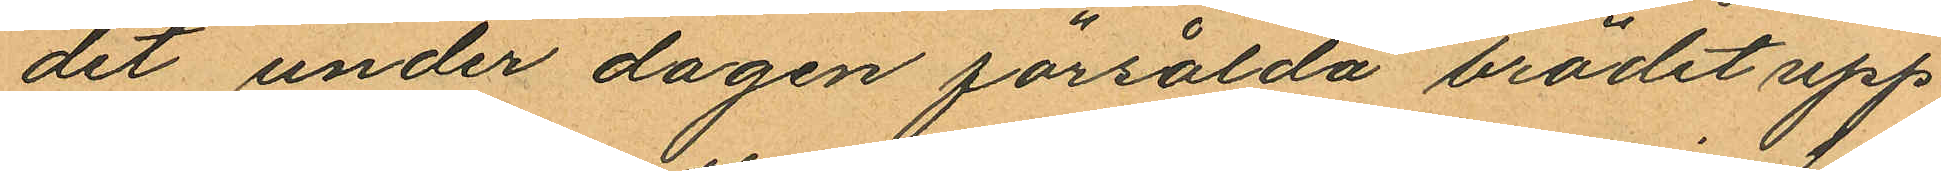det under dagen försålda brödet upp¬
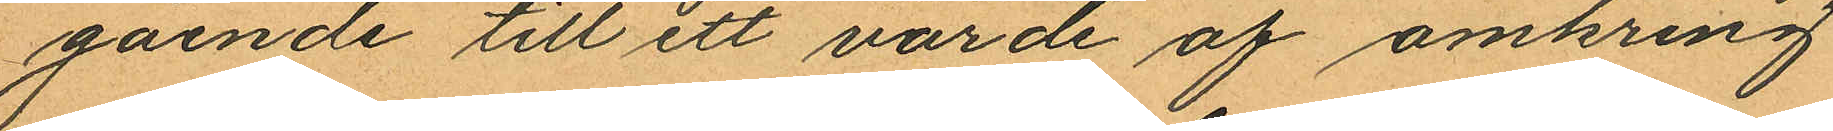gående till ett värde af omkring
